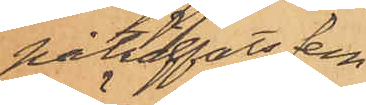påträffats fem
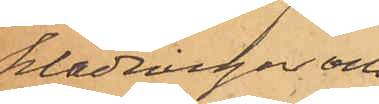klädningar och
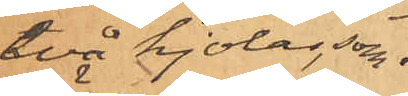två kjolar, som
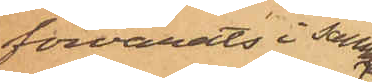förvarats i samma
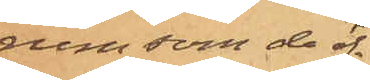rum som de öf¬
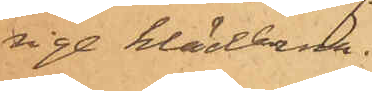rige kläderna.
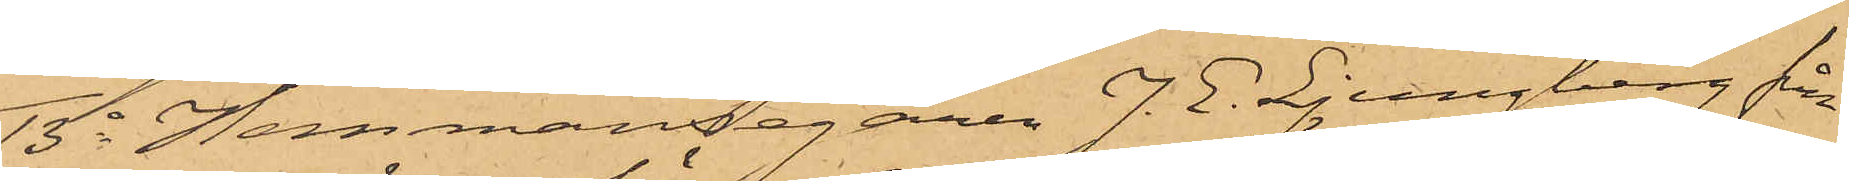13o Hemmansegaren J. E. Ljungberg från
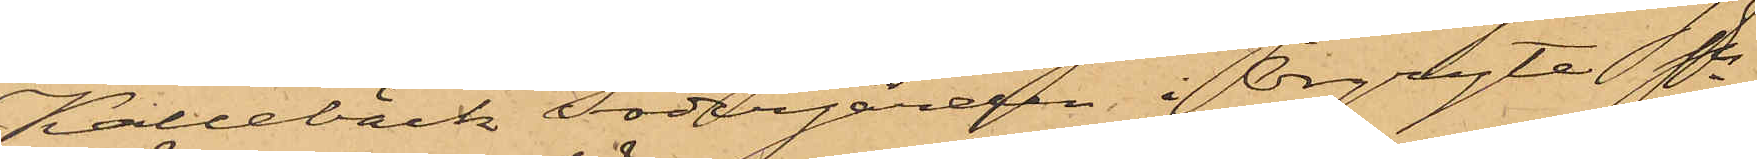Kallebäck Södergården i Örgryte Sn
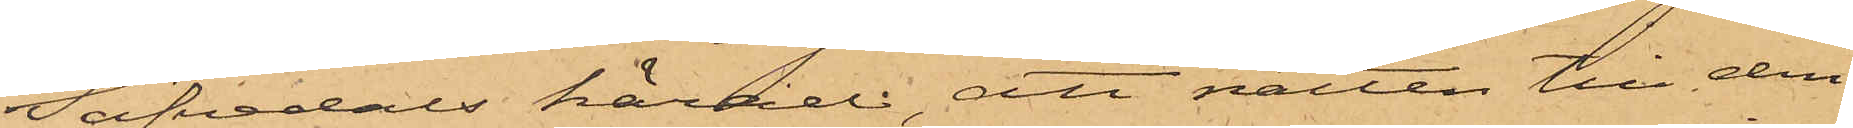Säfvedals härad; att natten till den
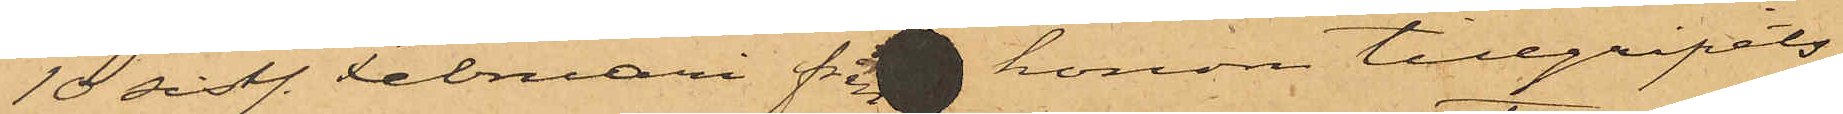10 sistl. Februari från honom tillgripits
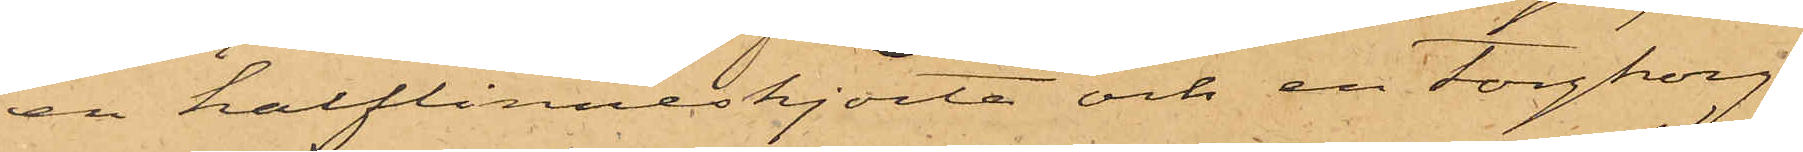en halflinneskjorta och en torgkorg,
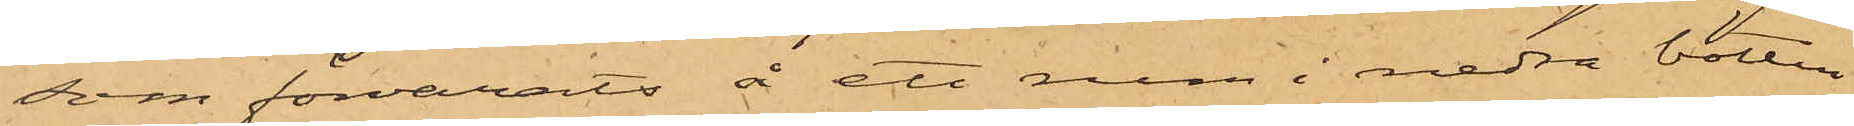som förvarats å ett rum i nedra botten
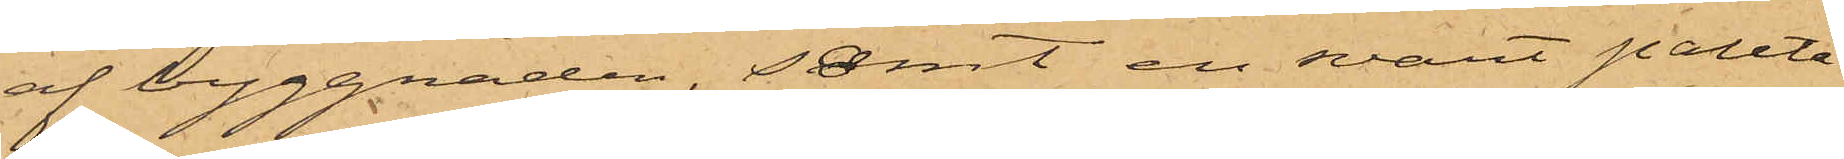af byggnaden, samt en svart paletå¬
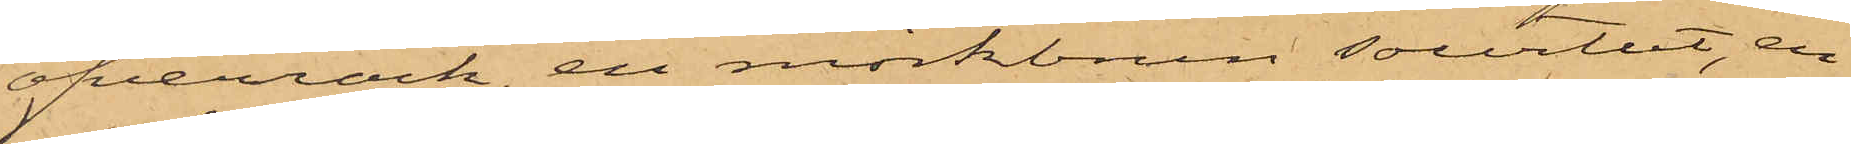öfverrock, en mörkbrun sourtut, en
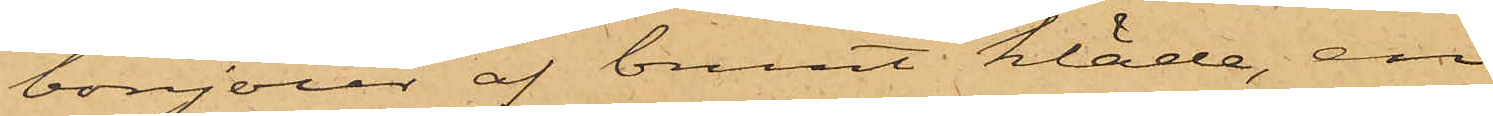bonjour af brunt kläde, en
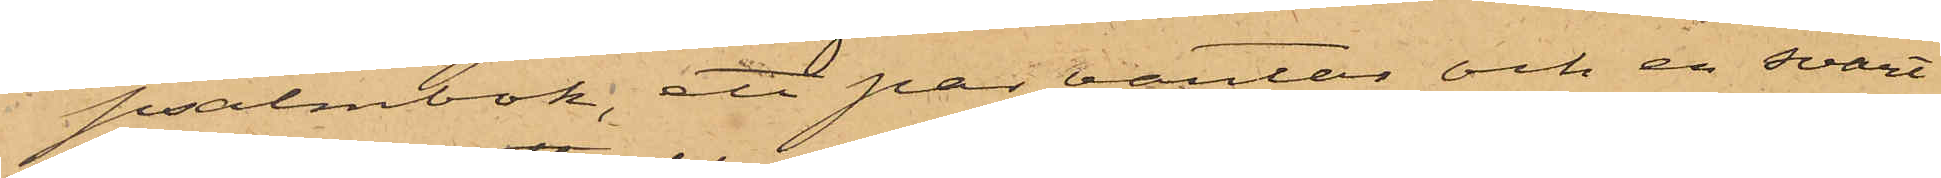psalmbok, ett par vantar och en svart
